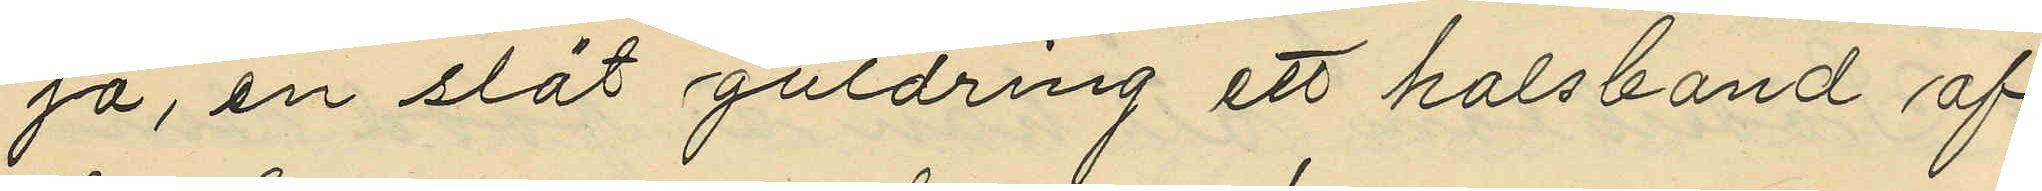ja, en slät guldring ett halsband af
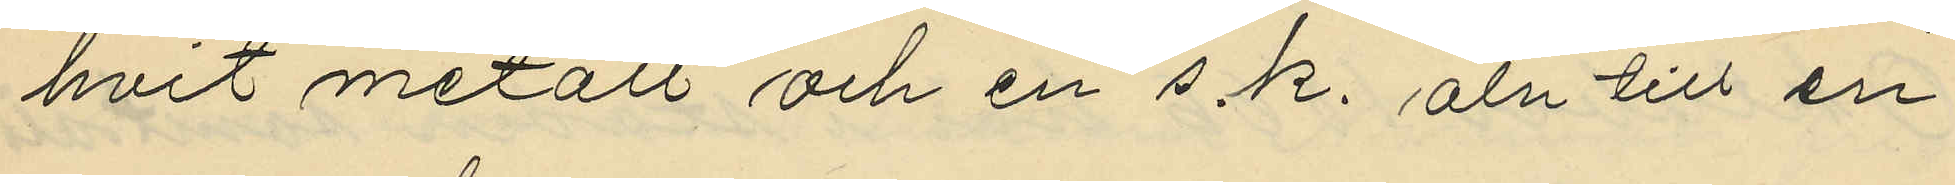hvit metall och en s. k. aln till en
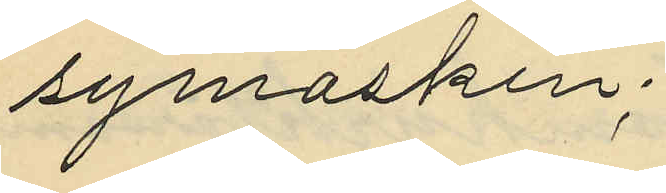symaskin;
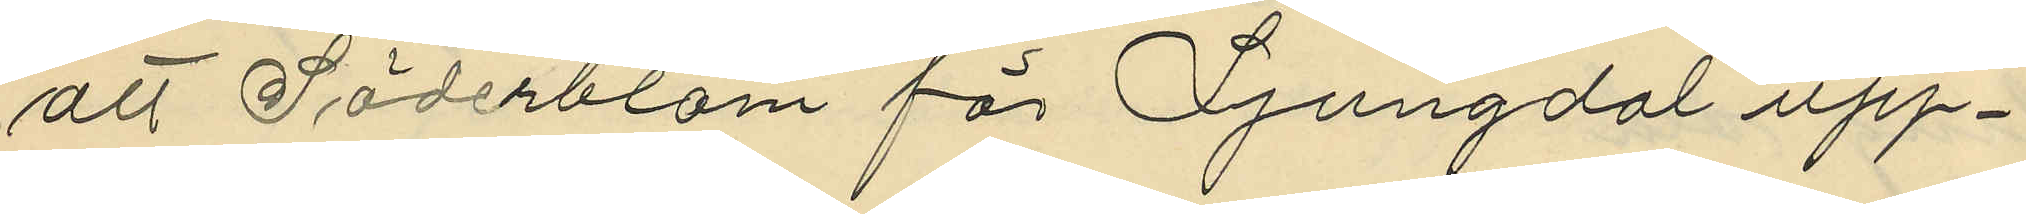att Söderblom för Ljungdal upp¬
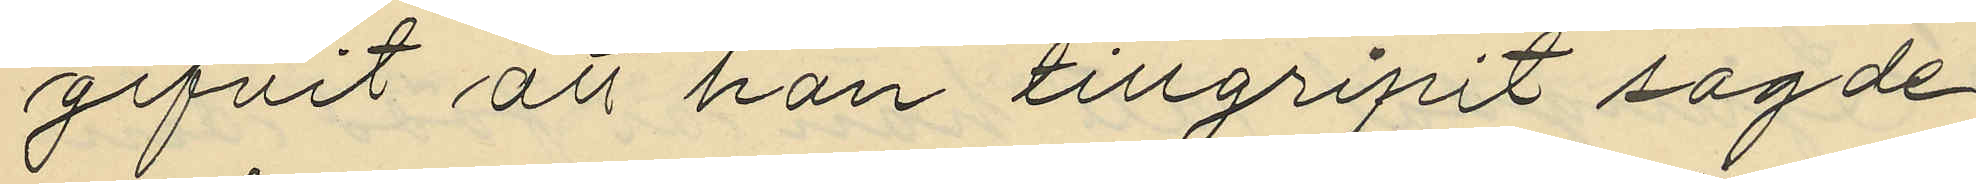gifvit att han tillgripit sagde
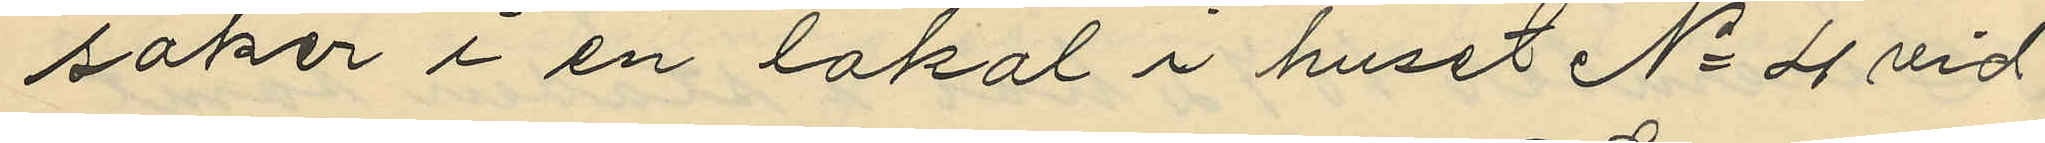saker i en lokal i huset No 4 vid
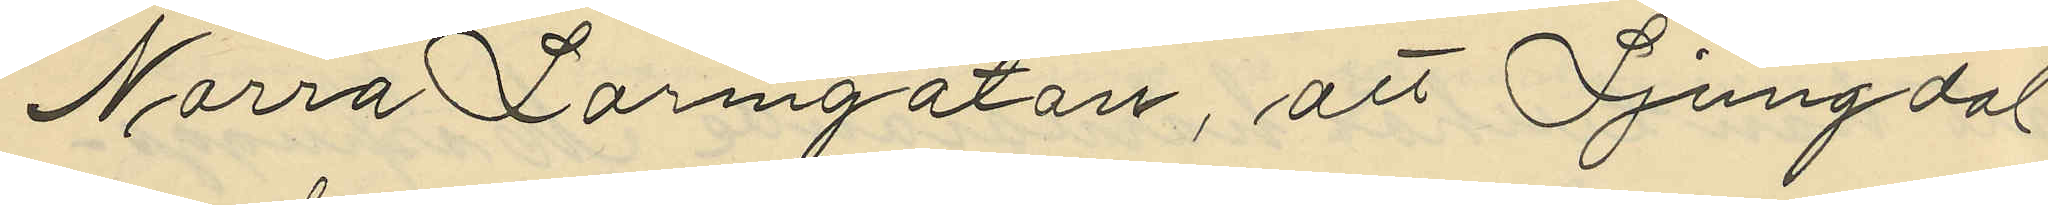Norra Larmgatan, att Ljungdal
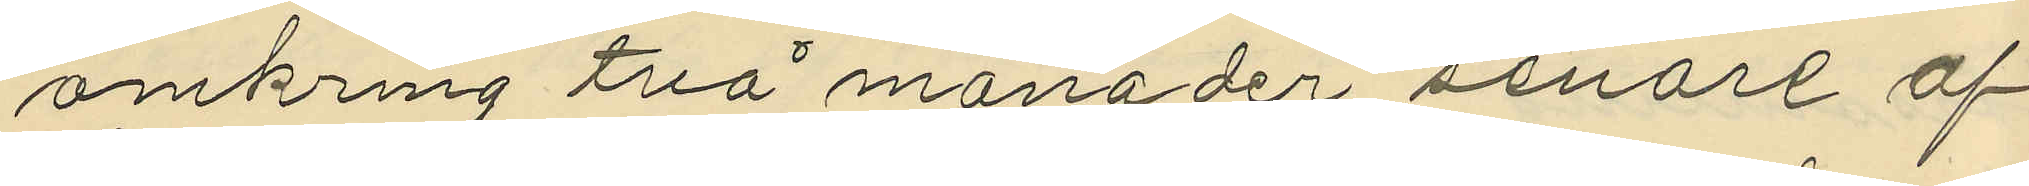omkring två månader senare af
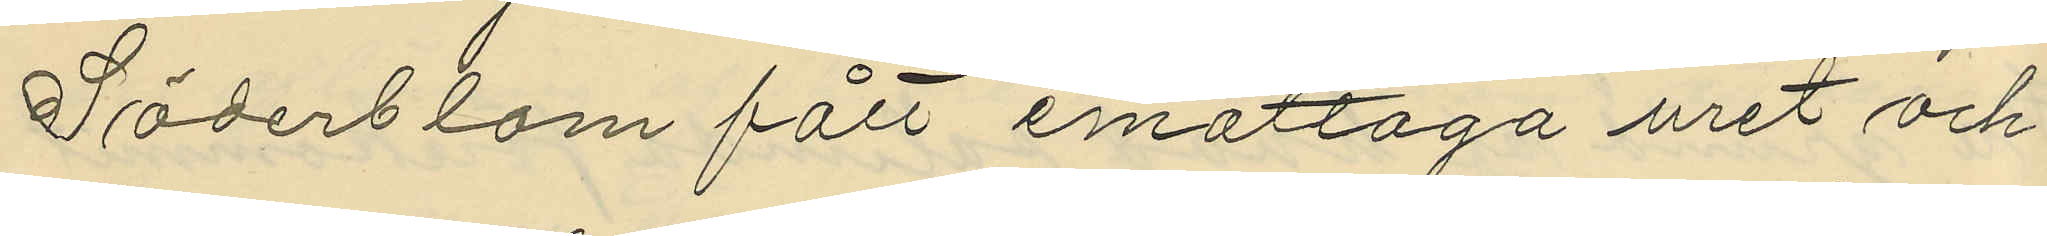Söderblom fått emottaga uret och
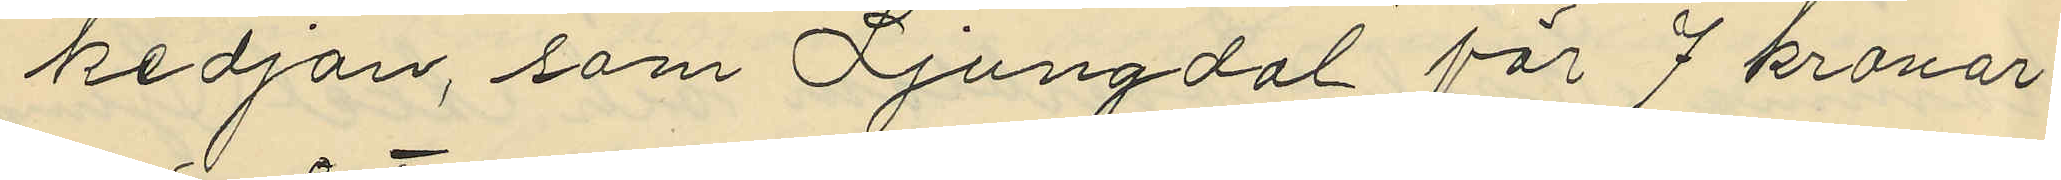kedjan, som Ljungdal för 7 kronor
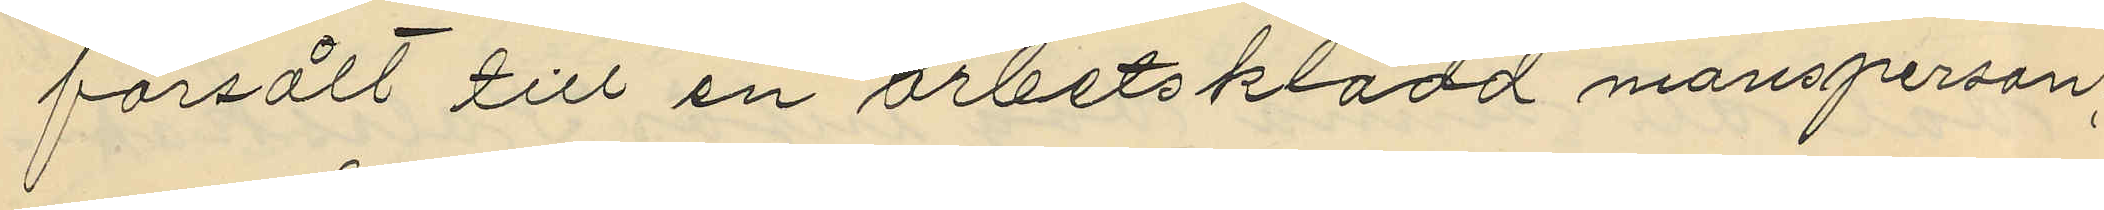försålt till en arbetsklädd mansperson,
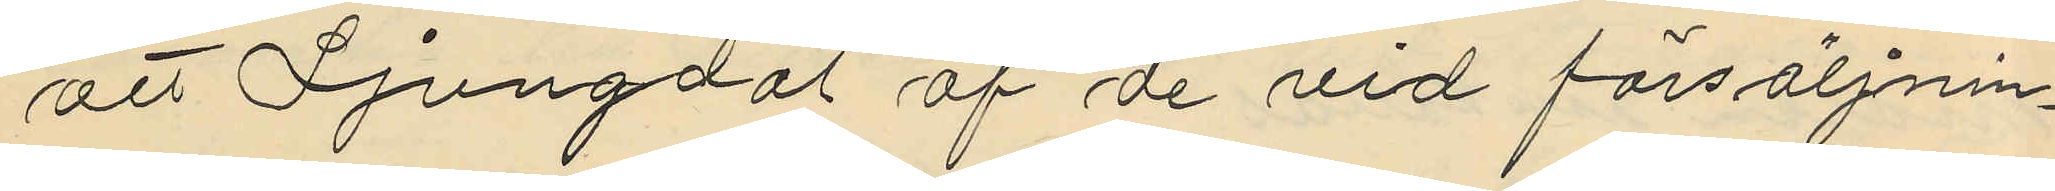att Ljungdal af de vid försäljnin¬
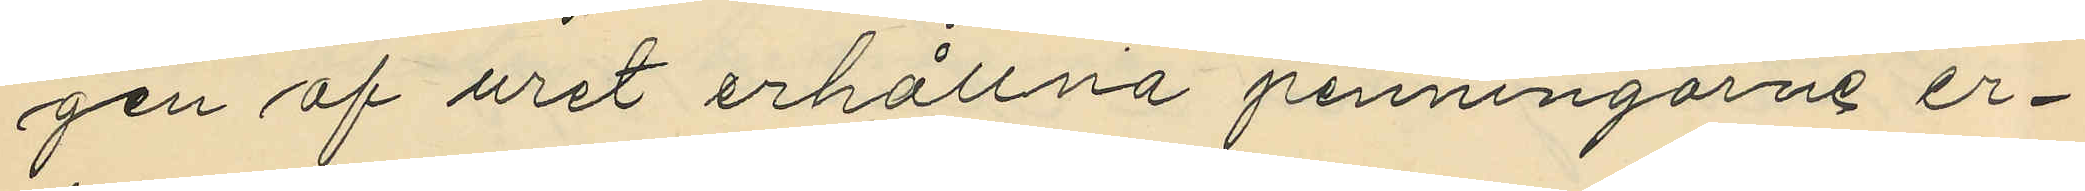gen af uret erhållna penningarne er¬
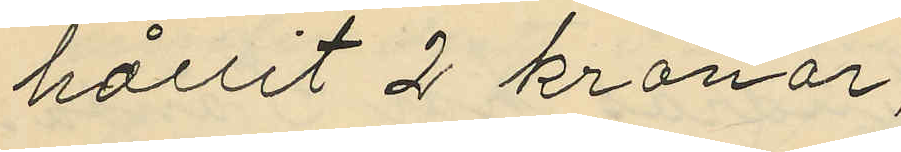hållit 2 kronor;
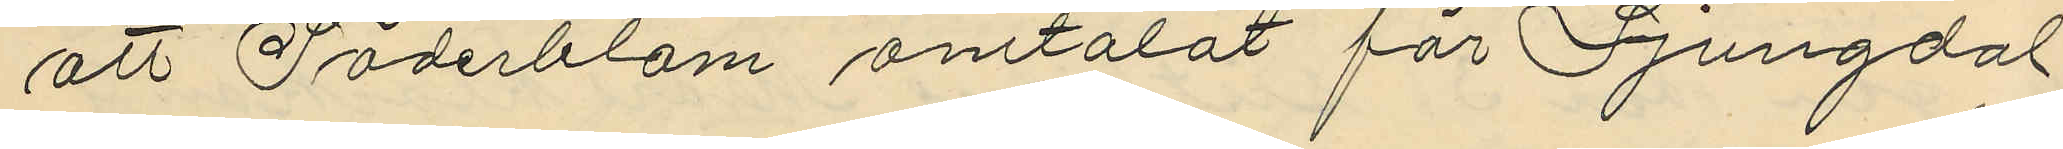att Söderblom omtalat för Ljungdal
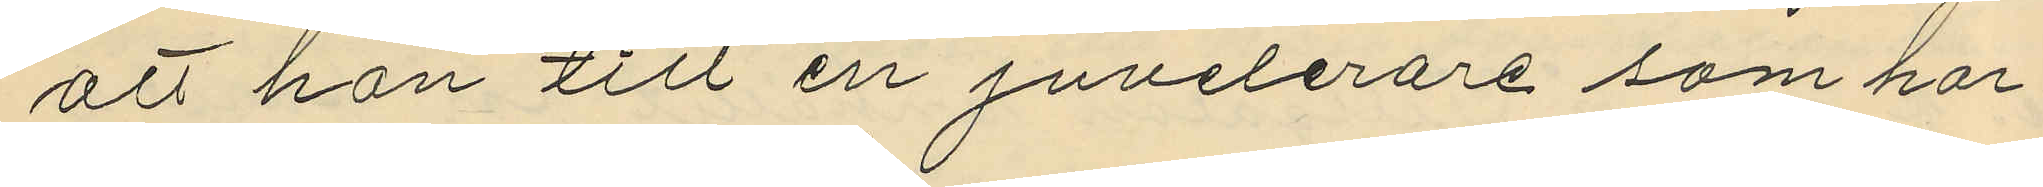att han till en juvelerare som har
